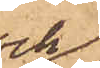och
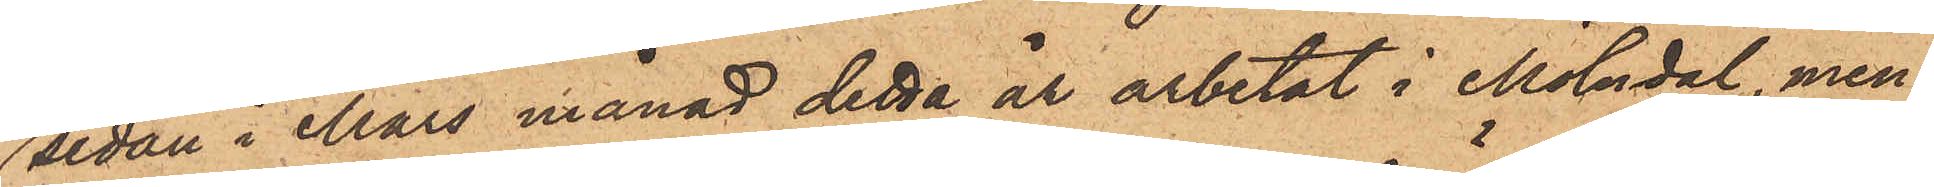sedan i Mars månad detta år arbetat i Mölndal, men
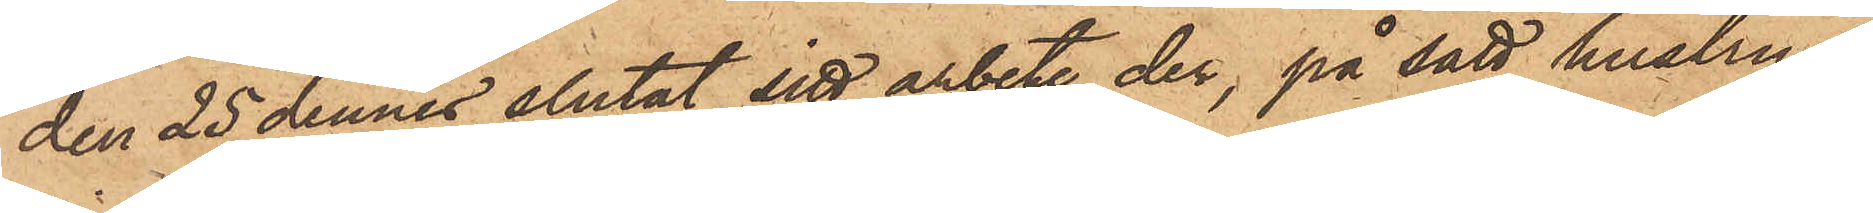den 25 dennes slutat sitt arbete der, på sätt hustrun
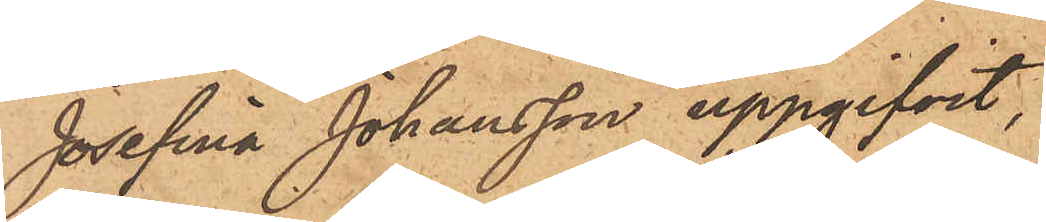Josefina Johansson uppgifvit,
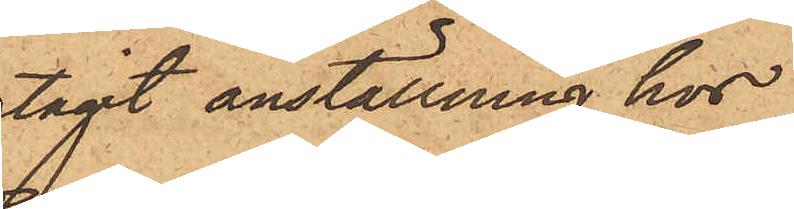tagit anställning hos
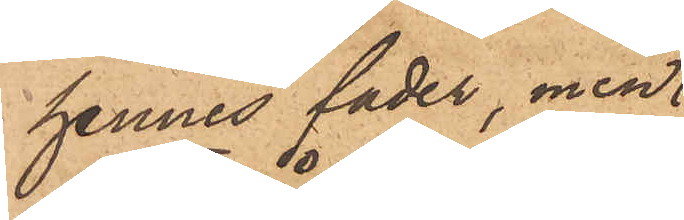hennes fader, men
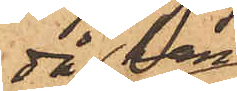då han
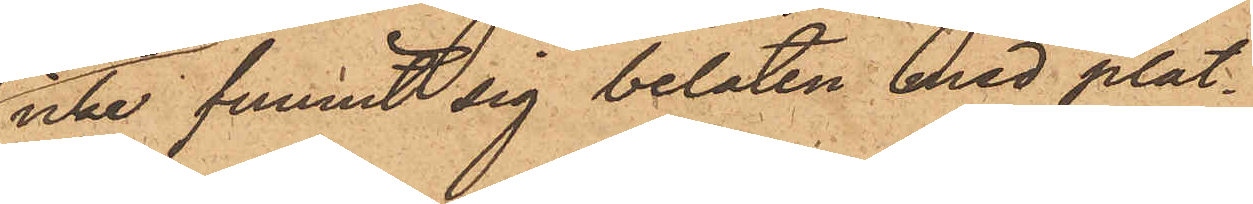icke funnit sig belåten med plat¬
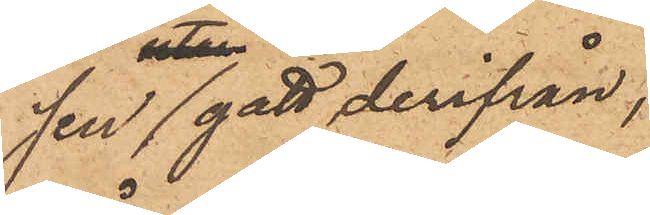sen gått derifrån,
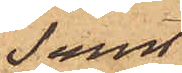samt
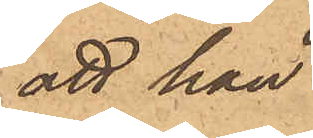att han
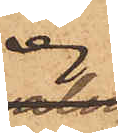ej
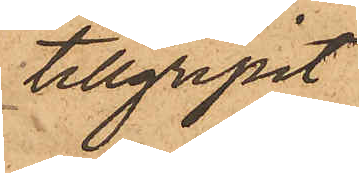tillgripit
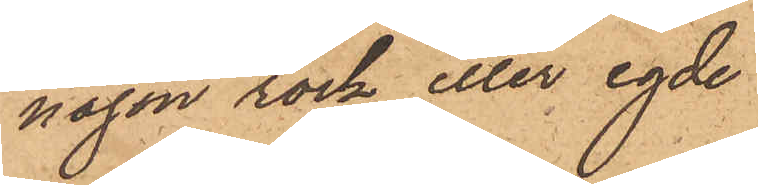någon rock eller egde
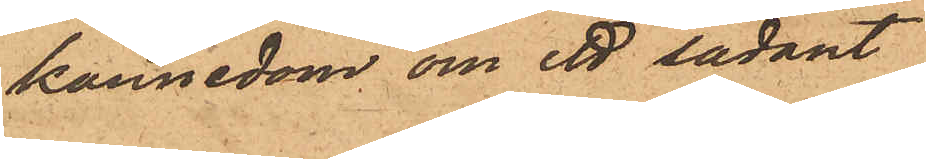kännedom om ett sådant
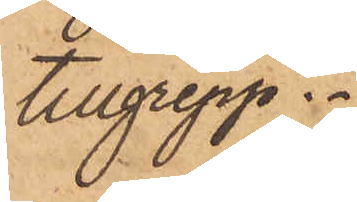tillgrepp.
